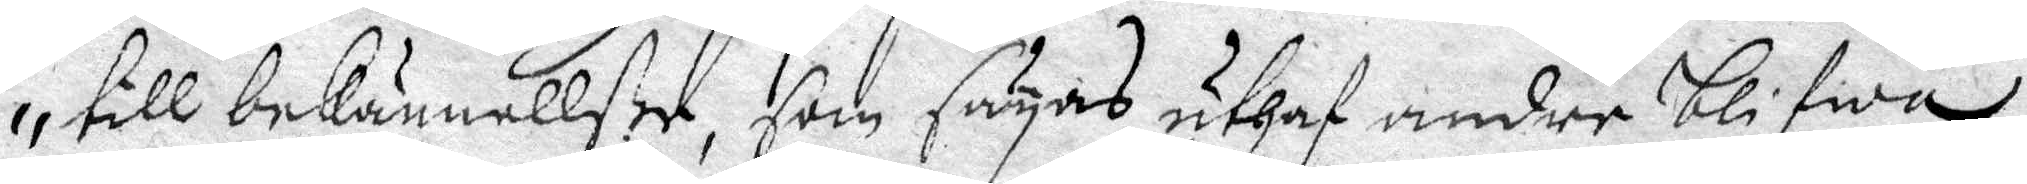till bekännelße, som säyas uthaf andre blifwa
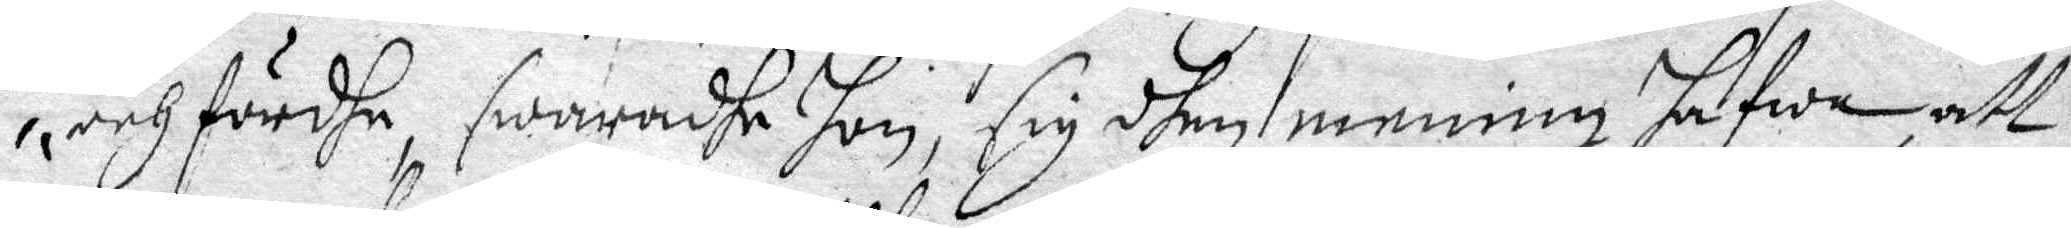och förde swaradhe hon, sig dhen mening hafwe, att
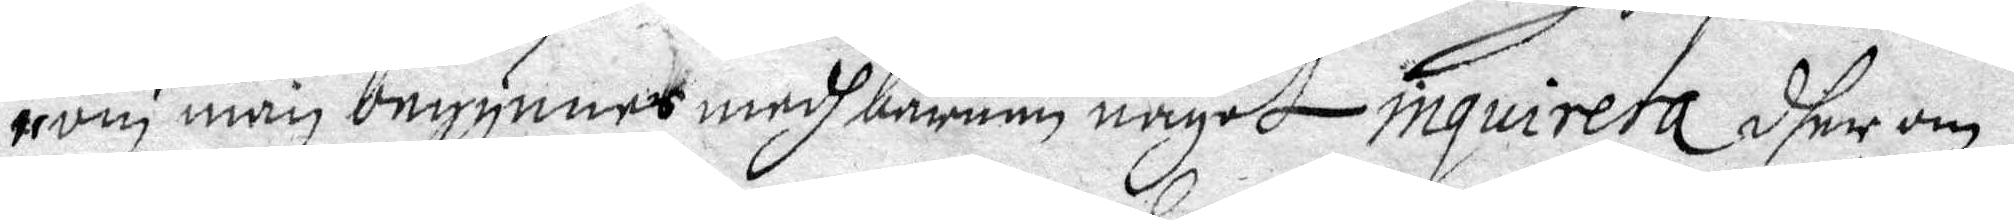om man begynnes medh barnen något inquiera dher om
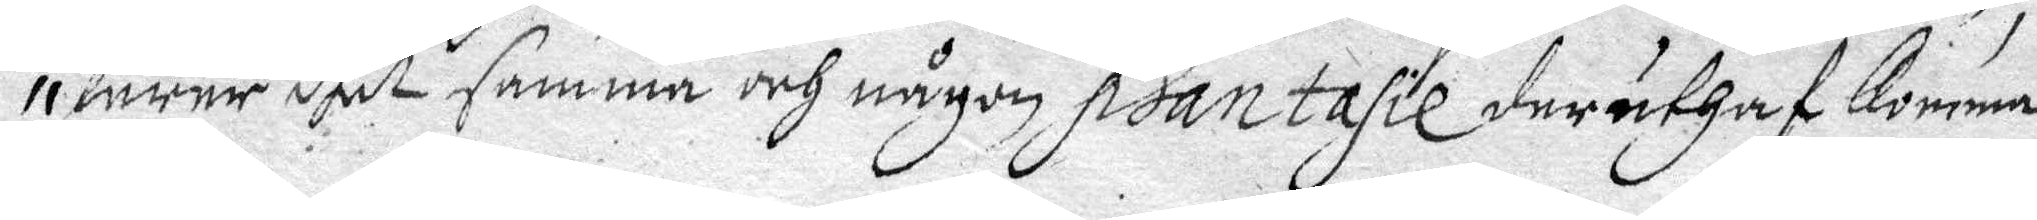lurer dhet samaa och någon phantasie deruthaf komma
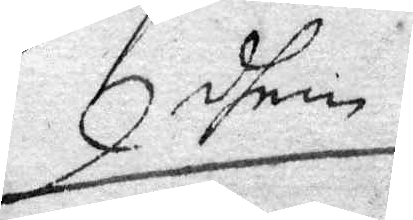dhem
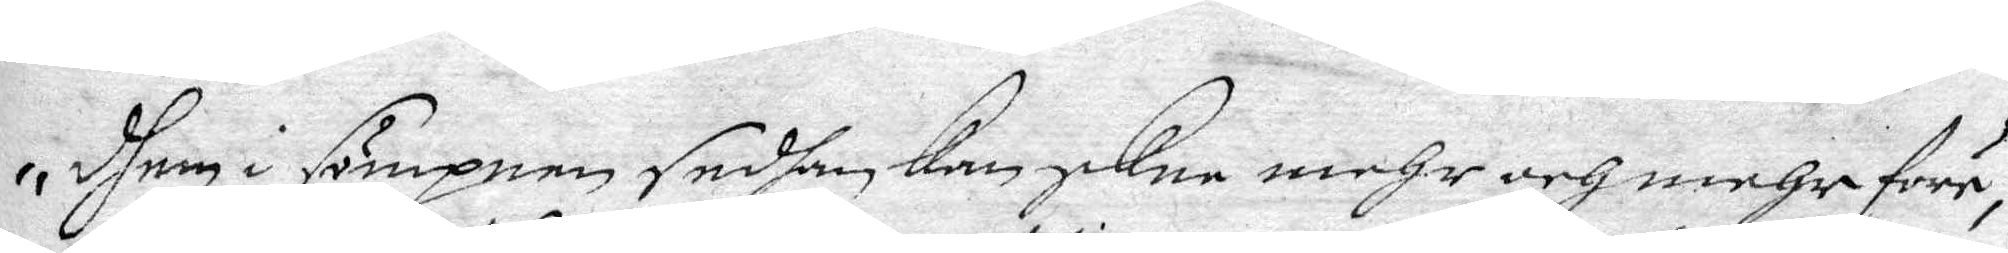dhem i sömpnen sedhan Kan skee mehr och mehr förr
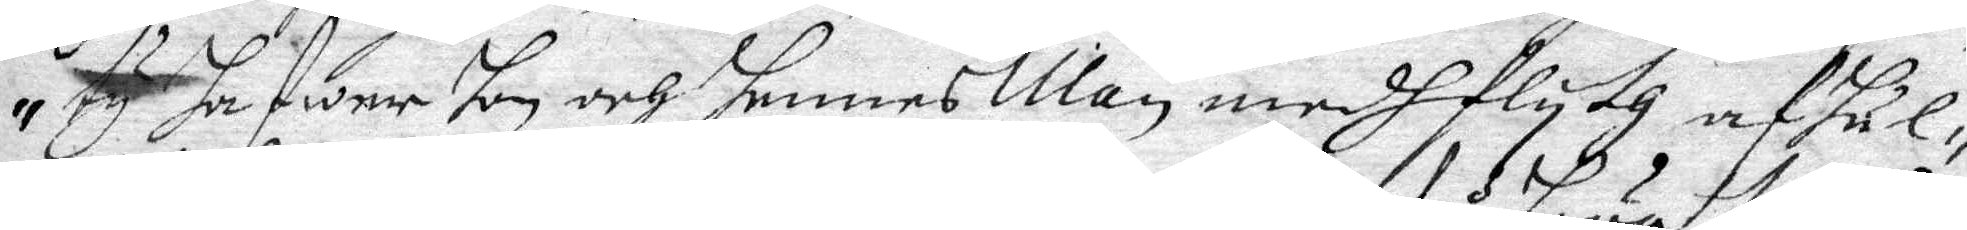ty hafwer hon och hennes Man medh flyth afhål¬
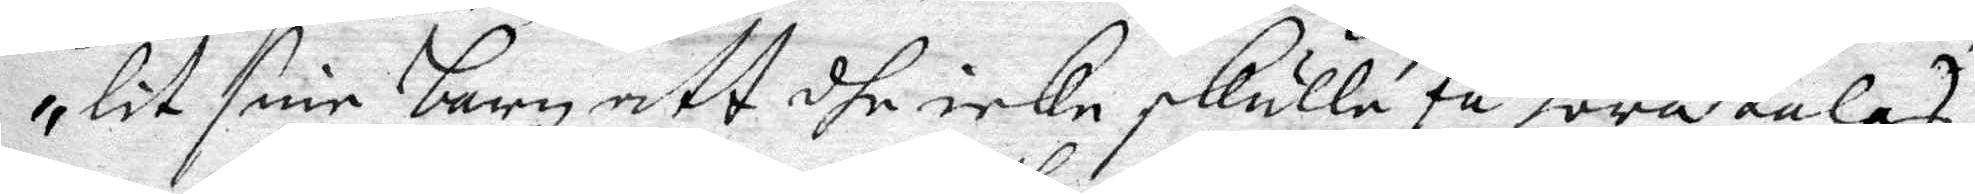lit sine barn att dhe icke skulle få höra talas
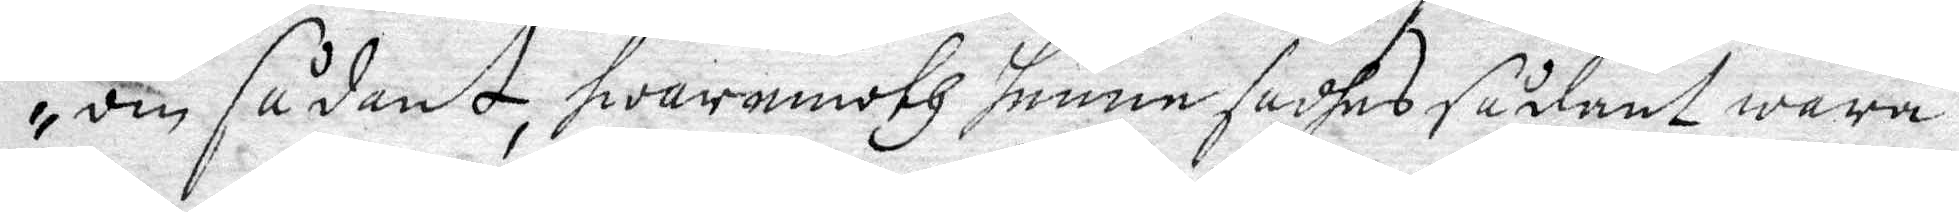om sådant, hwaremoth henne sadhes sådant wara
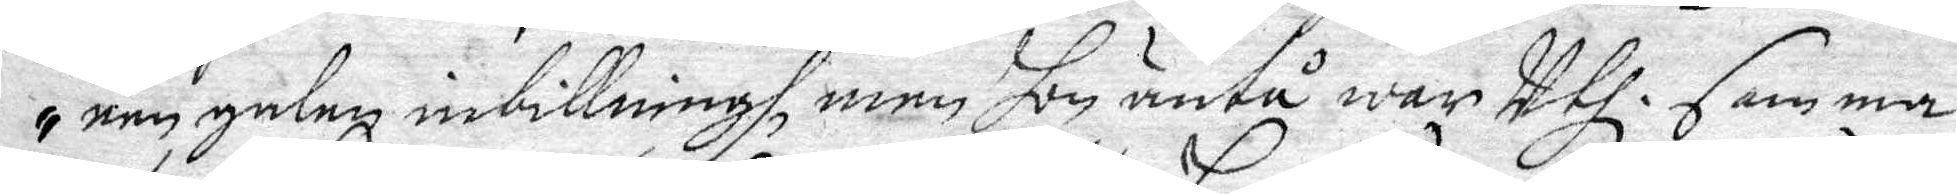een galen inbillningh, men Hon änt¨war Uthi samma
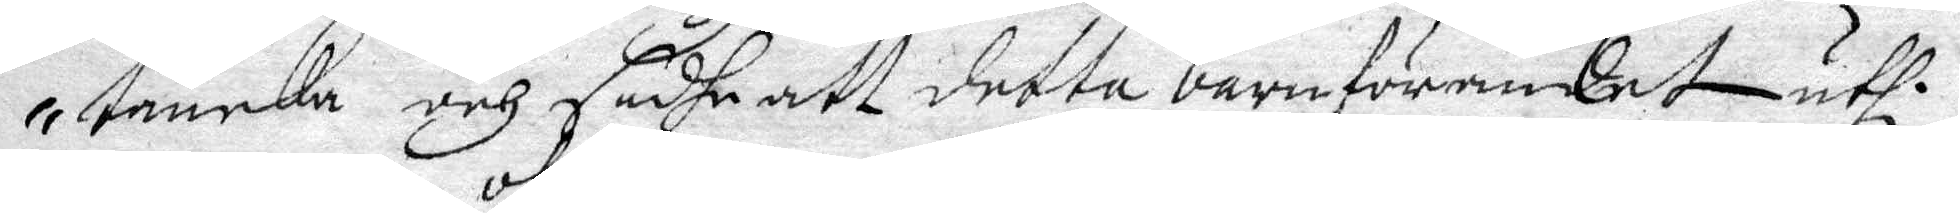tancka och sadhe att detta barnförandet uthi
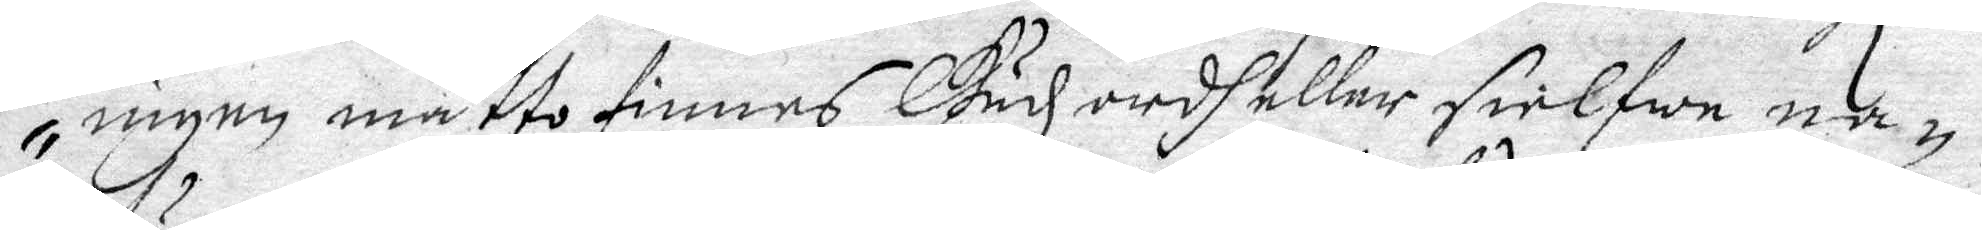ingen måtto finnes Gudz ordh eller sielfwe na¬
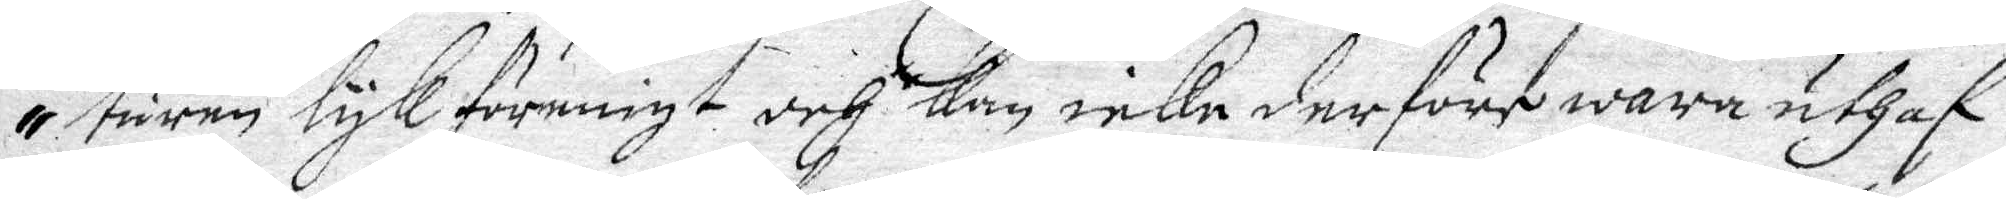turen lykföreningt och Kom icke derföre wara uthaf
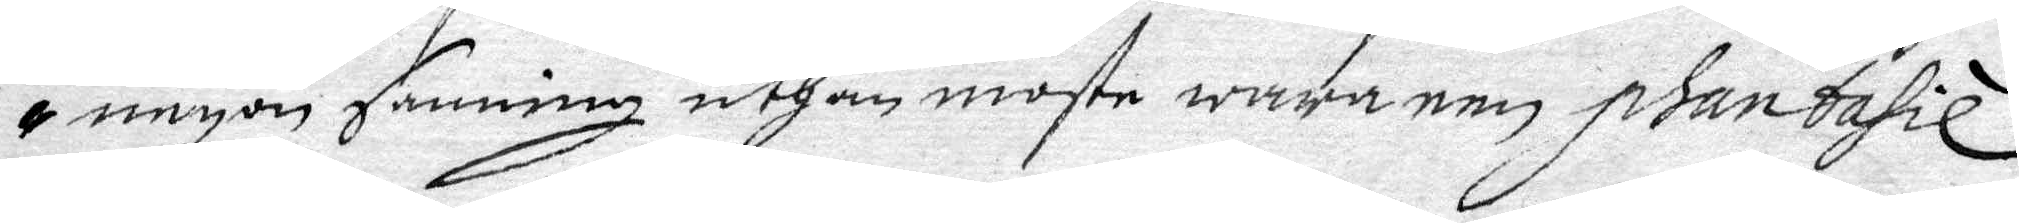någon sanning uthan moste wara een phantasie
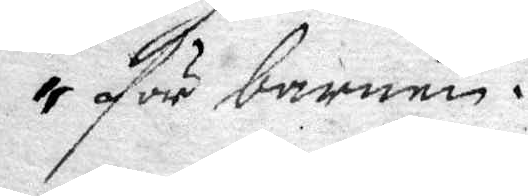för barnen.
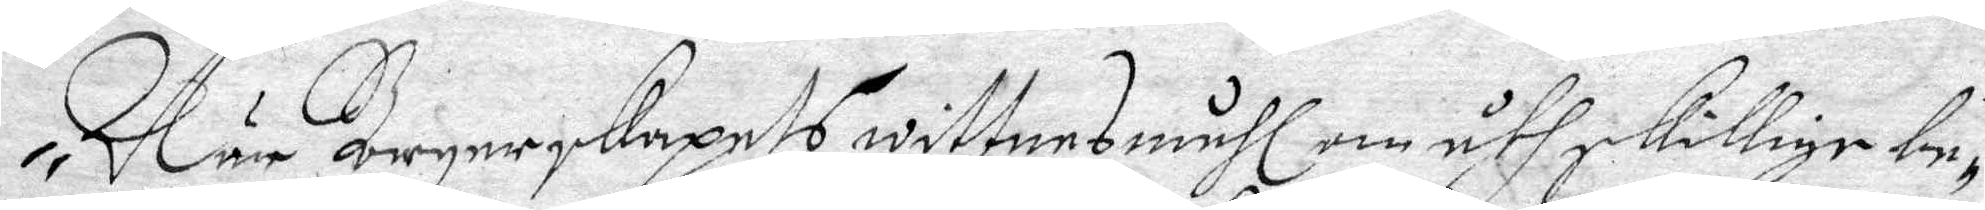När Borgerskapets wittnesmåhl om åthskillige be¬
